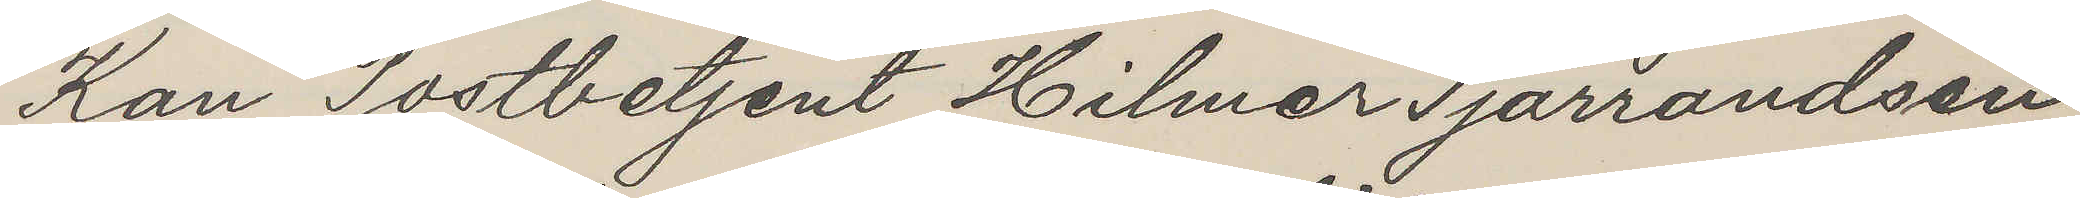Kan Postbetjent Hilmer Tjärrandsen
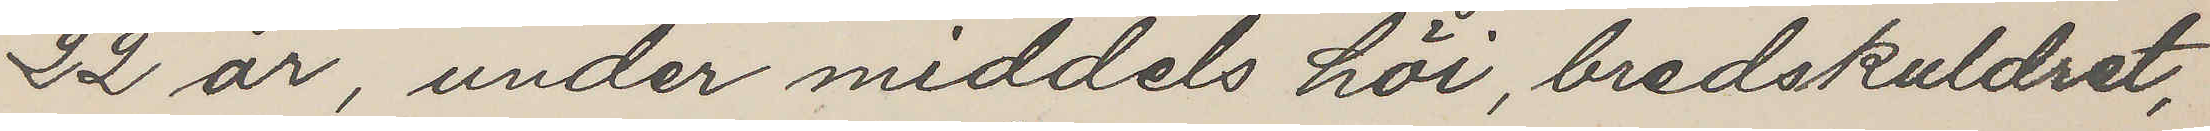22 år, under middels höi, bredskuldret,
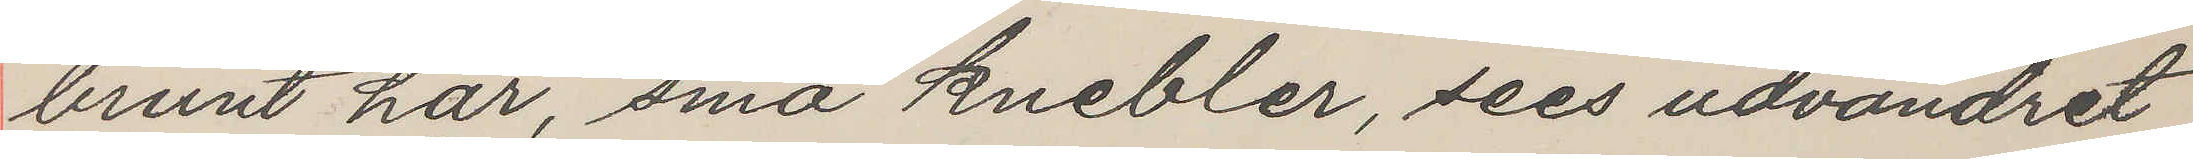brunt hår, små knebler, sees udvandret
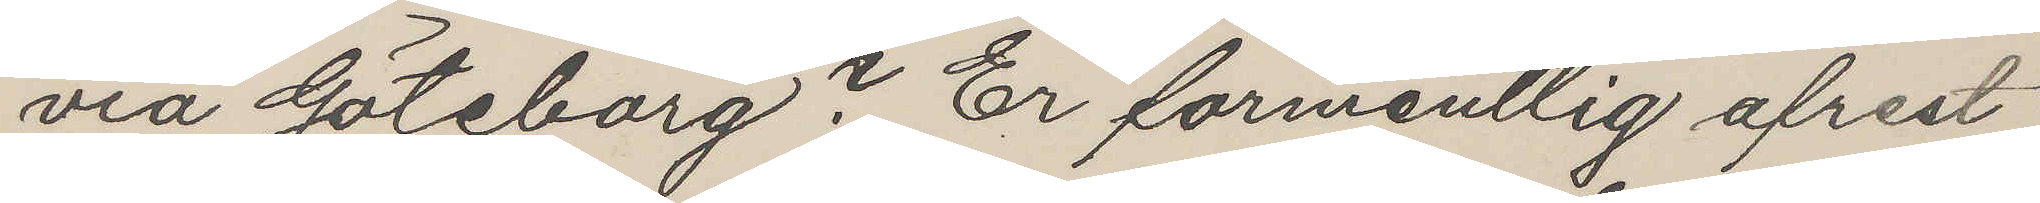via Göteborg? Er formentlig afrest
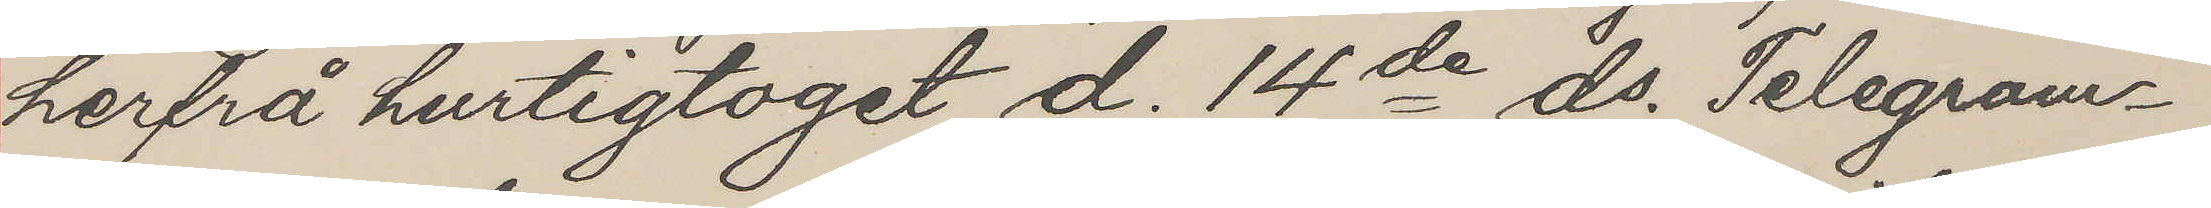herfrå hurtigtoget d. 14de ds. Telegram¬
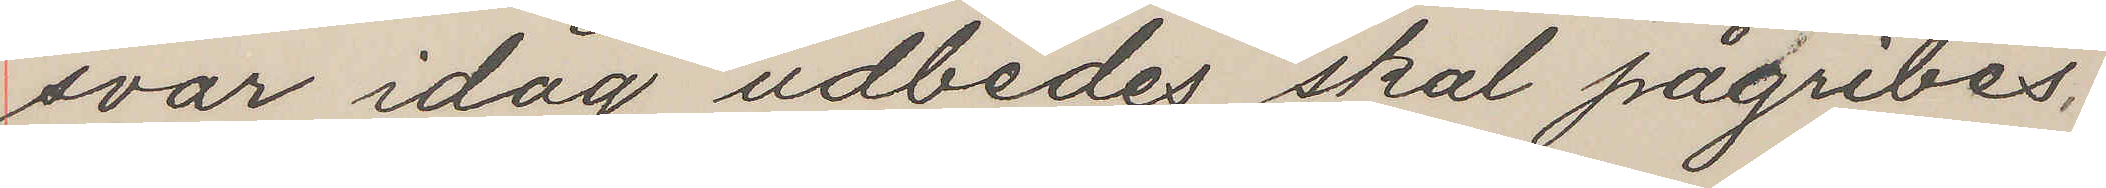svar idag udbedes, skal pågribes,
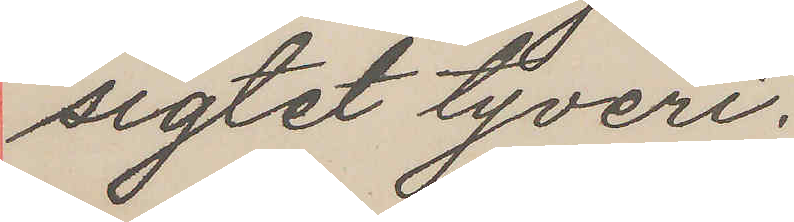sigtet tyveri.
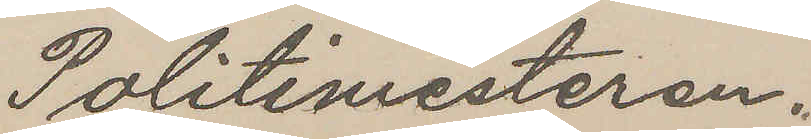Politimesteren.
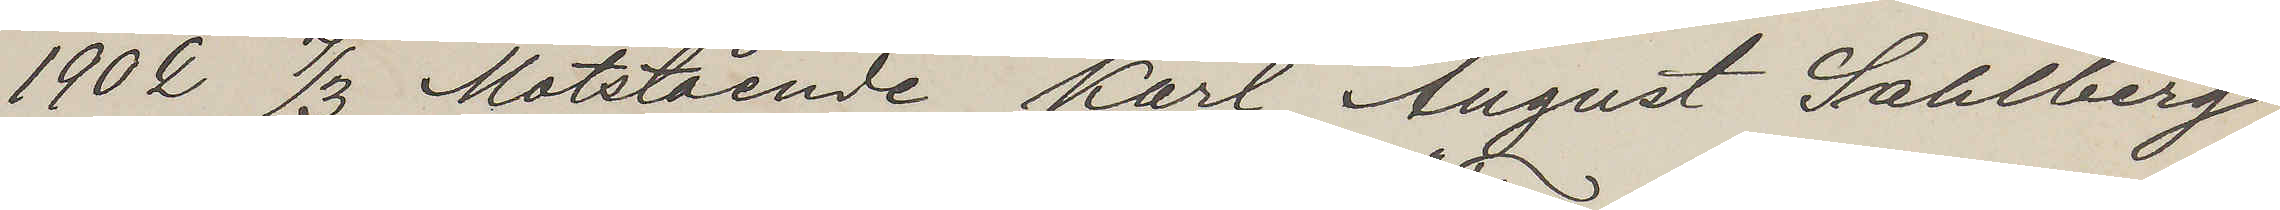1902 7/3 Måtstående Karl August Sahlberg
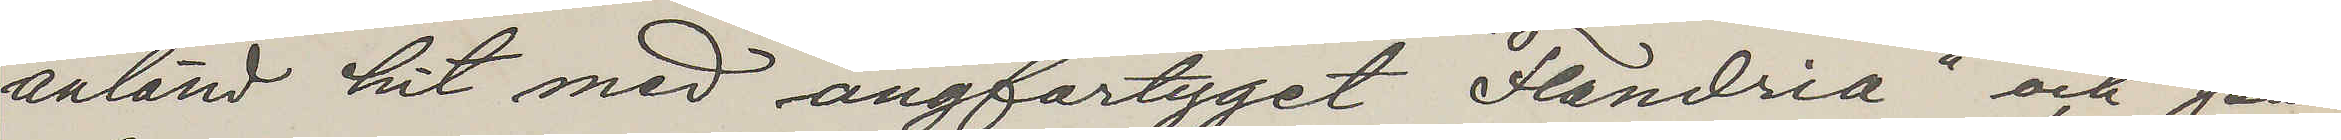anländ hit med ångfartyget "Flandria" och på¬
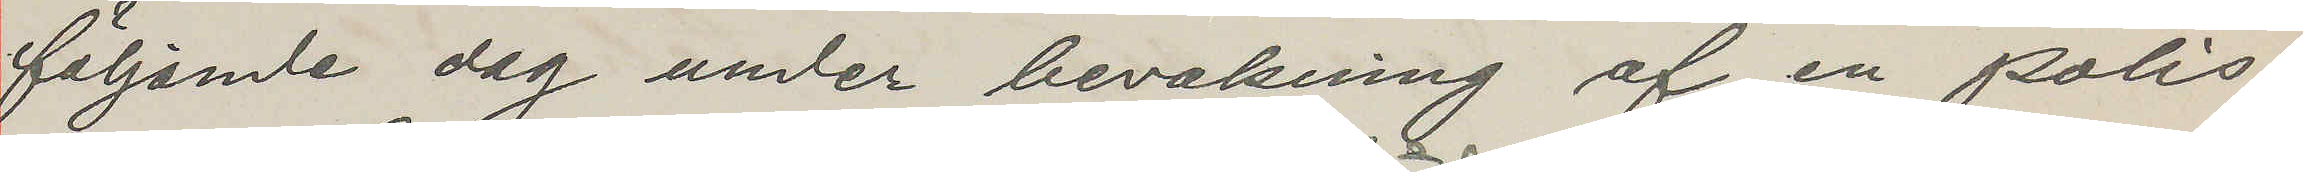följande dag under bevakning af en polis¬
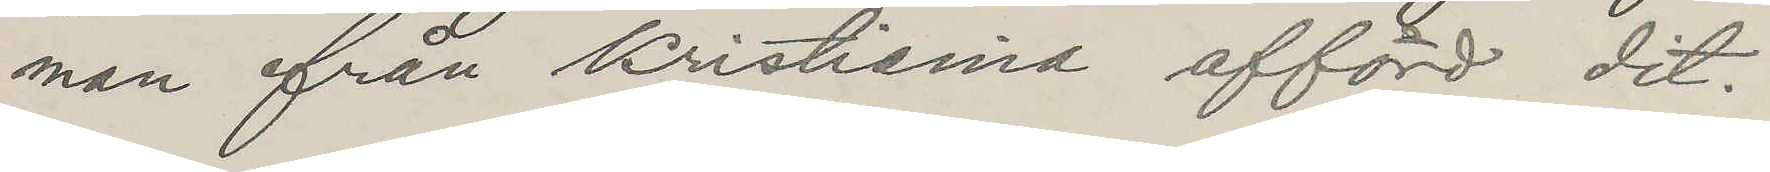man ifrån Kristiania afförd dit.
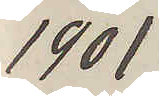1901
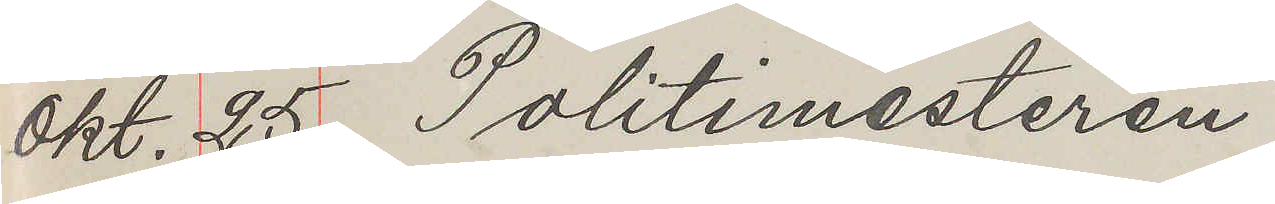Okt. 25 Politimesteren
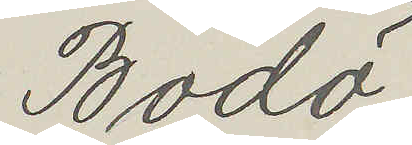Bodö.
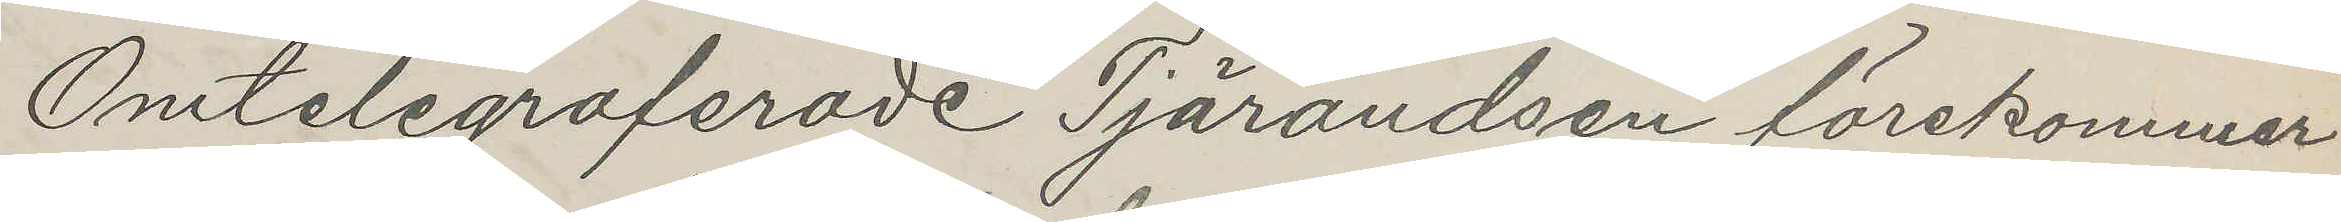Omtelegraferade Tjärandsen förekommer
